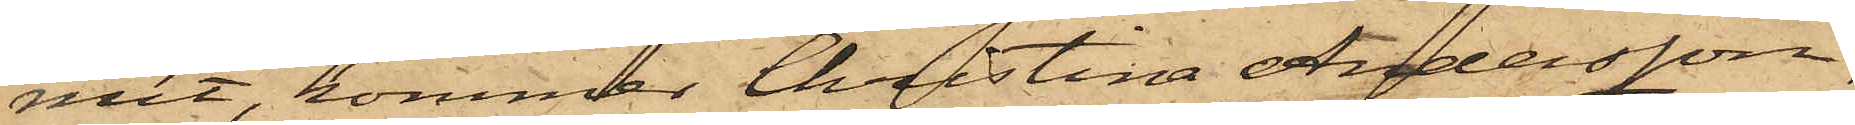mit, kommer Christina Andersson,
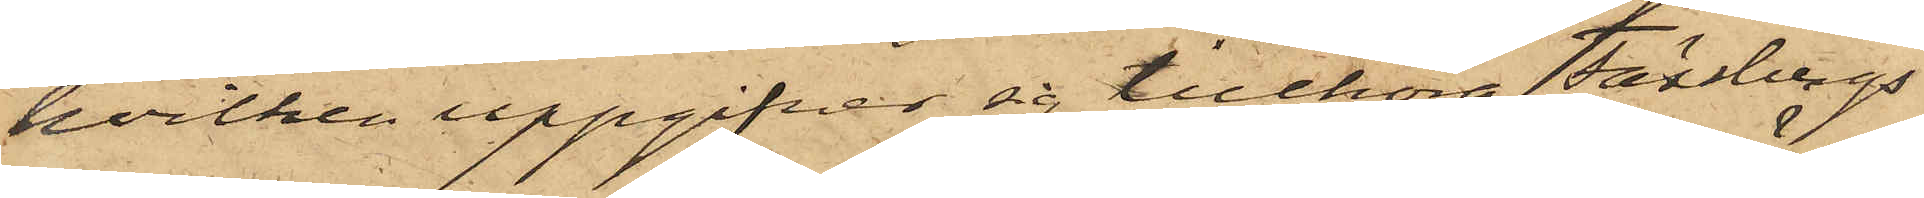hvilken uppgifver sig tillhöra Fässbergs
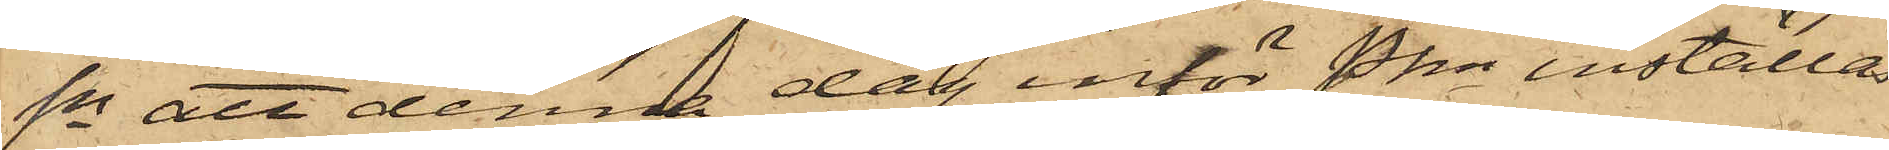Sn att denna dag inför Pkn inställas.
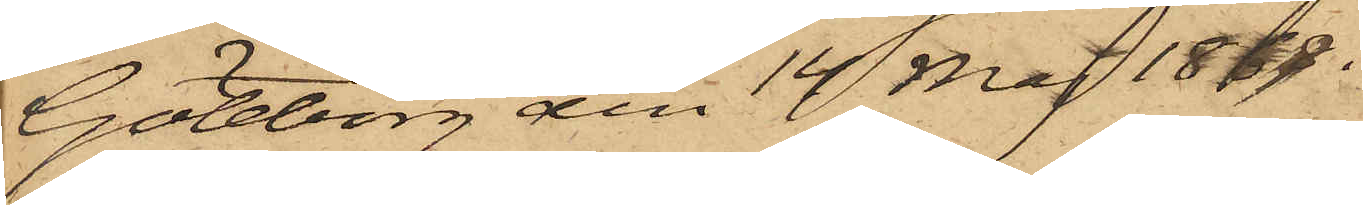Göteborg den 14 Maj 1868.
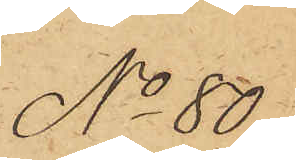No 80.
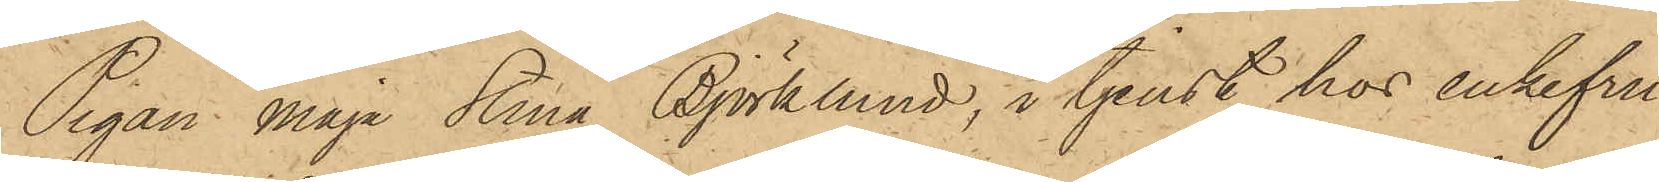Pigan Maja Stina Björklund, i tjenst hos enkefru
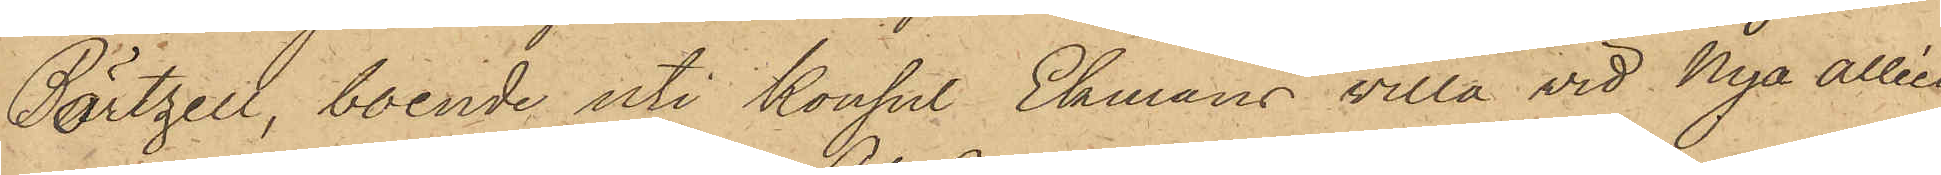Börtzell, boende uti Konsul Ekmans villa vid Nya Alléen
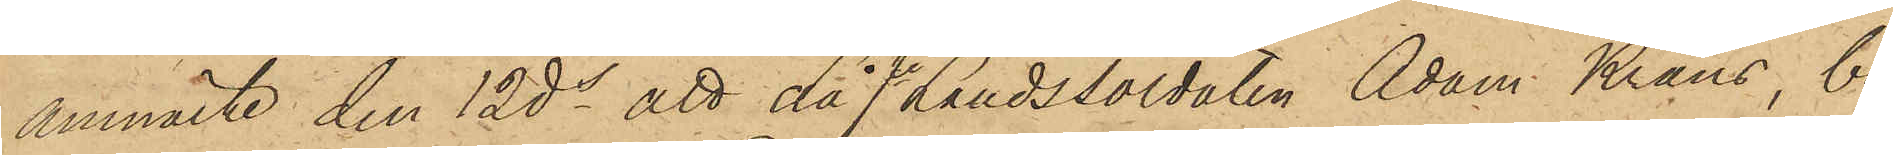anmälte den 12 ds att då fe Landssoldaten Adam Krans, bo¬
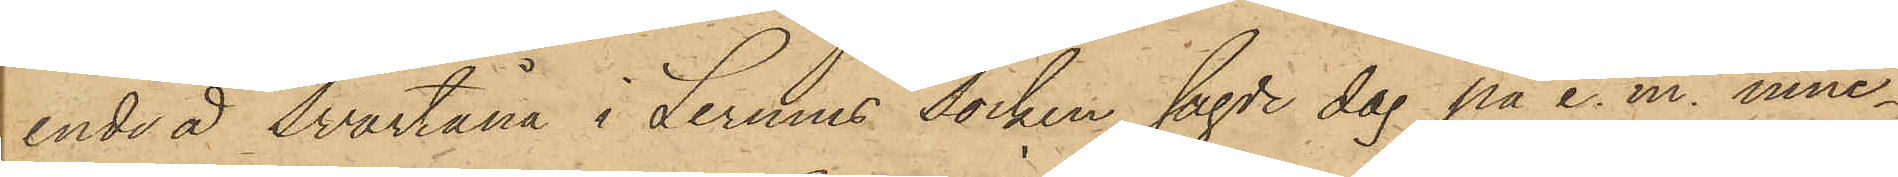ende å Svartåna i Lerums socken sagde dag på e. m. inne¬
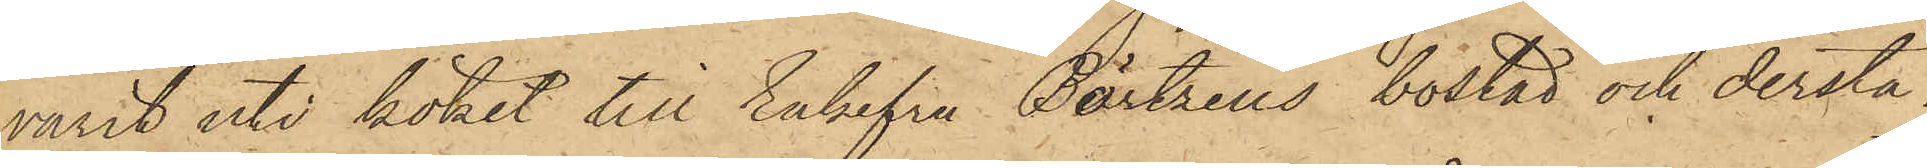varit uti köket till Enkefru Börtzells bostad och derstä¬
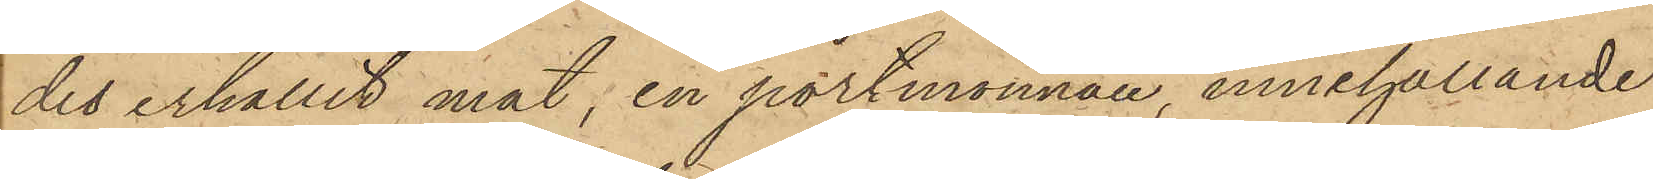det erhållit mat, en portmonnai innehållande
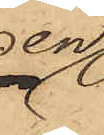en
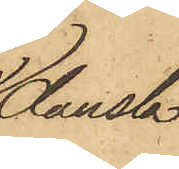dansk
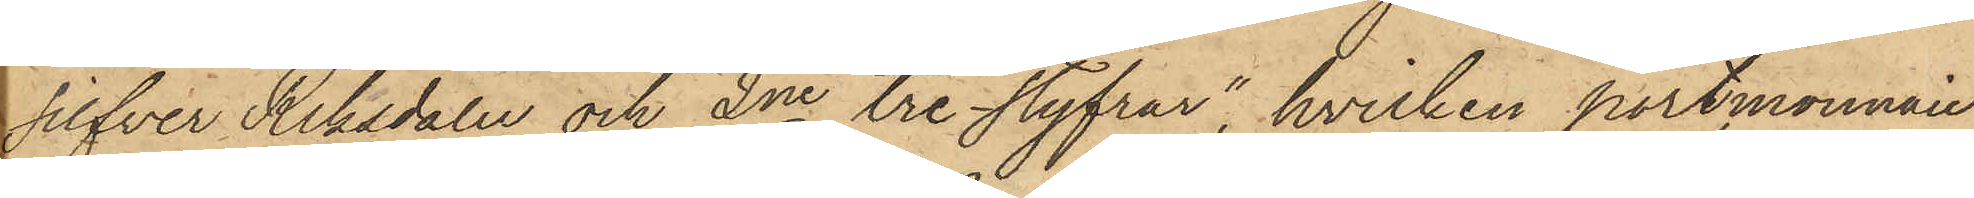silfver Riksdaler och 2ne "tre styfrar", hvilken portmonnaie
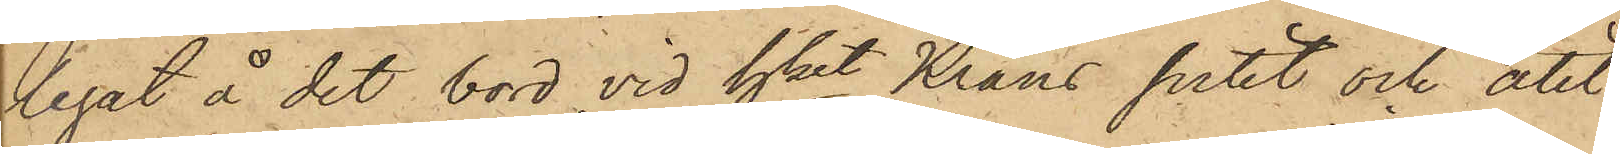legat å det bord, vid hket Krans sutit och ätit,
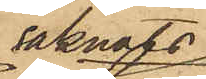saknats
